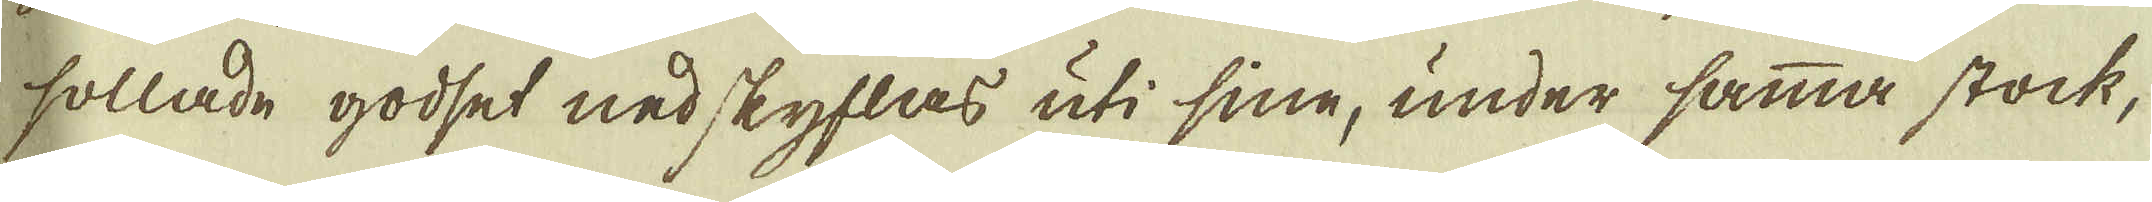sollade godset nedskyflas uti sine, under samma stock,
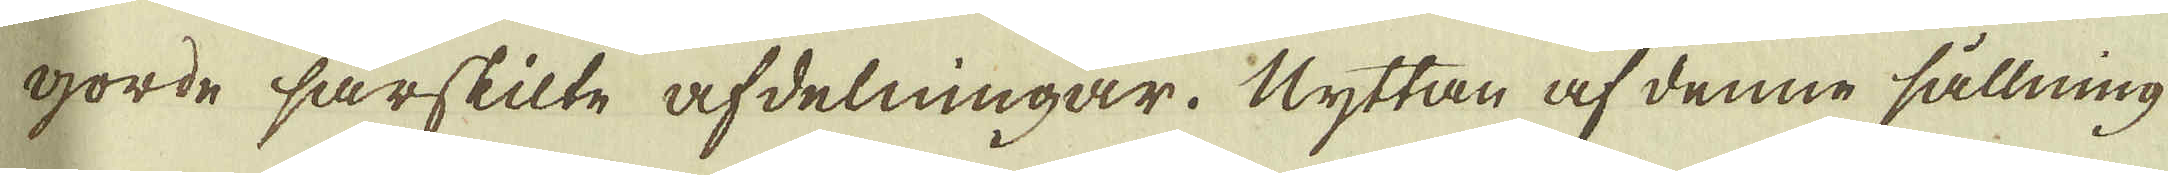gorde särskilte afdelningar. Nyttan af denne sållning
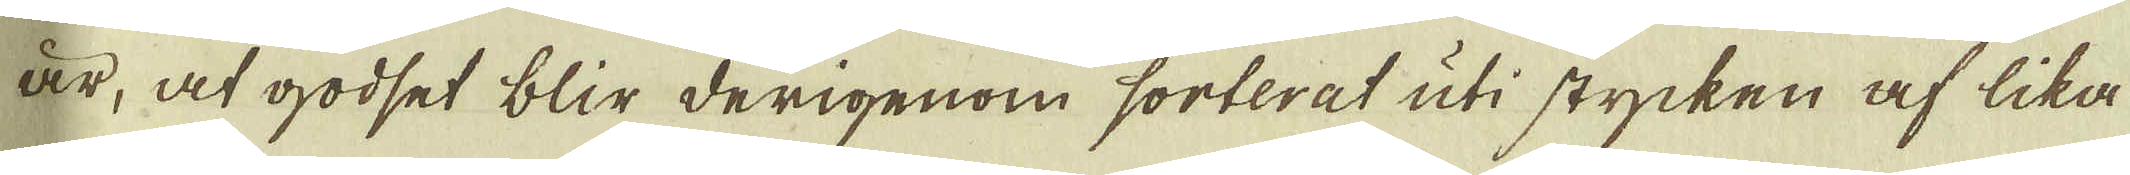är, at godset blir derigenom sorterat uti stycken af lika
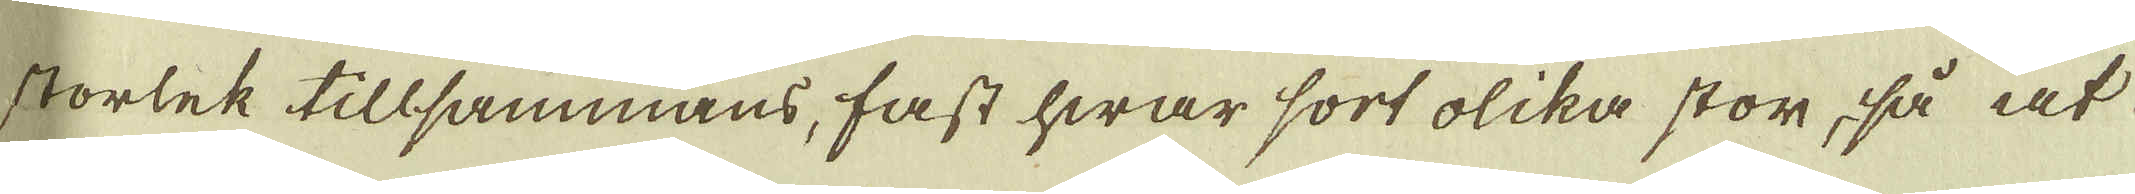storlek tillsammans, fast hwar sort olika stor, så at
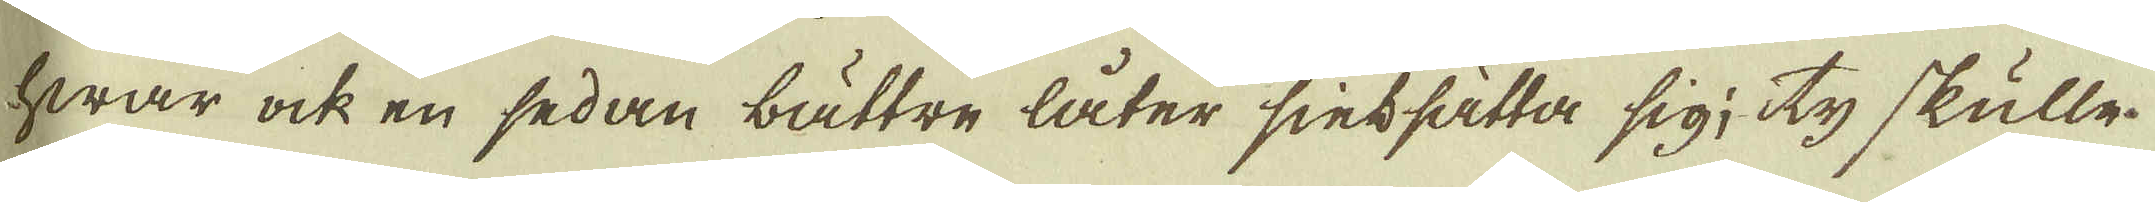hwar ock en sedan bättre låter sintsätta sig; ty skulle
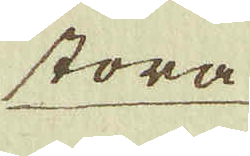stora
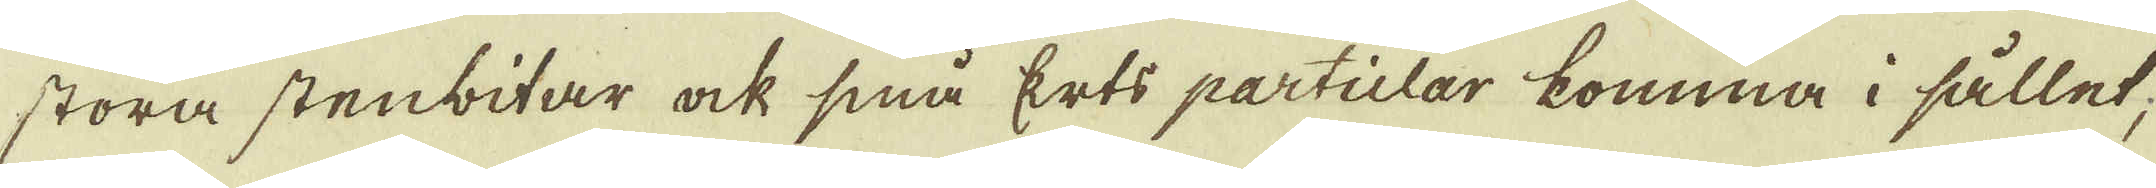stora stenbitar ock små Erts particlar komma i sållet,
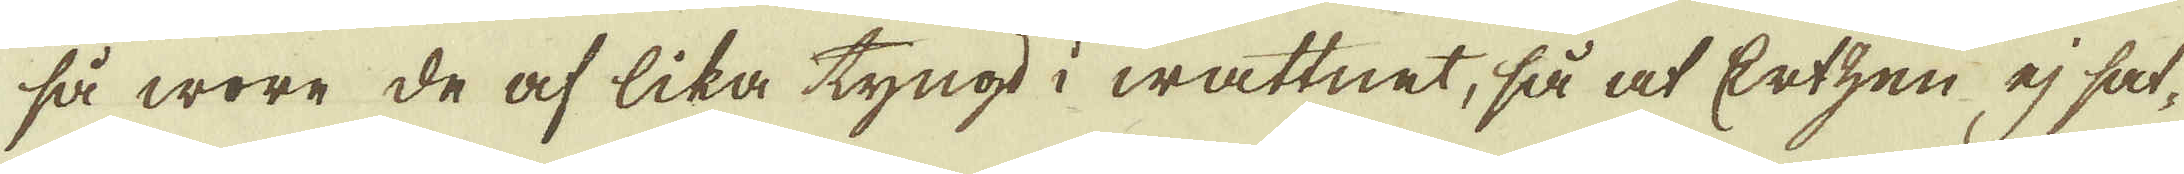så wore de af lika tyngd i wattnet, så at Ertzen ej sat-
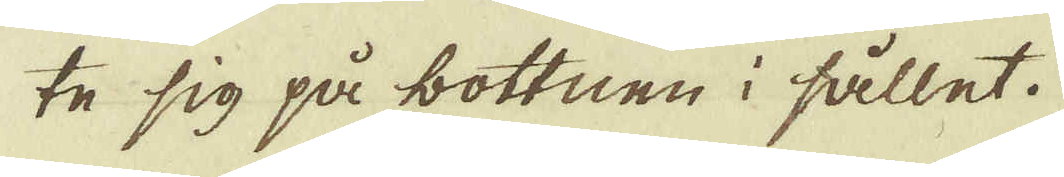te sig på bottnen i sållet.
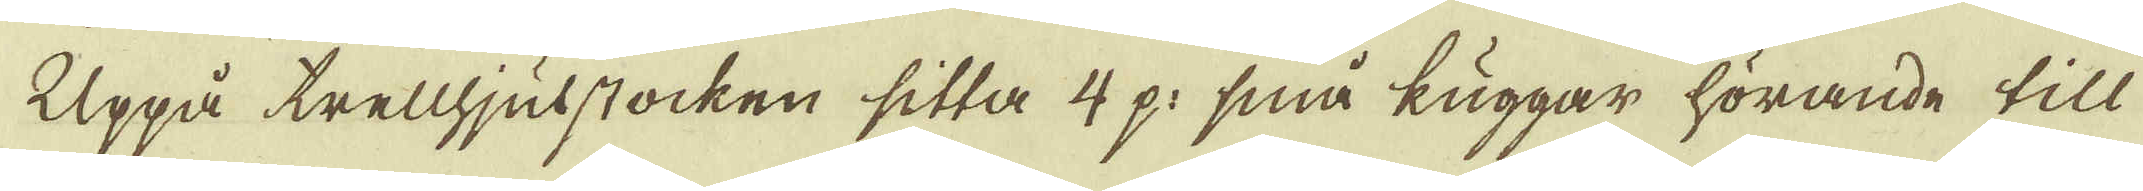Uppå trellhjulstocken sitta 4 p: små kuggar hörande till
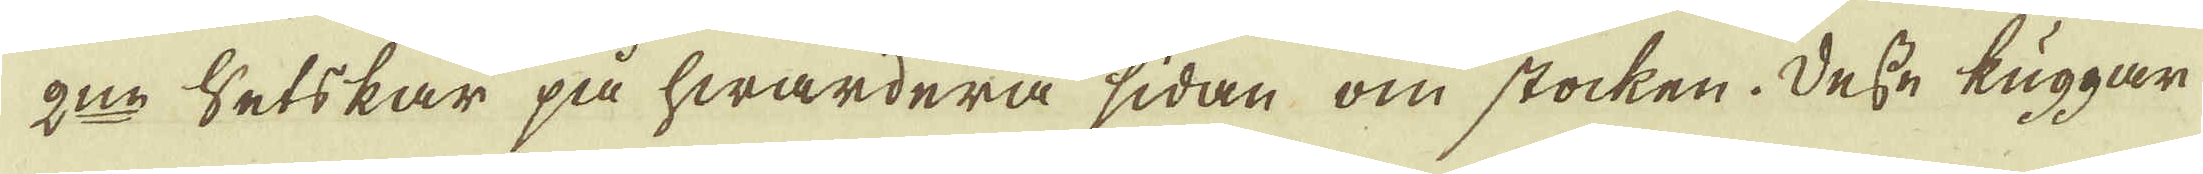2:no Ertskar på hwardera sidan om stocken. Desse kuggar
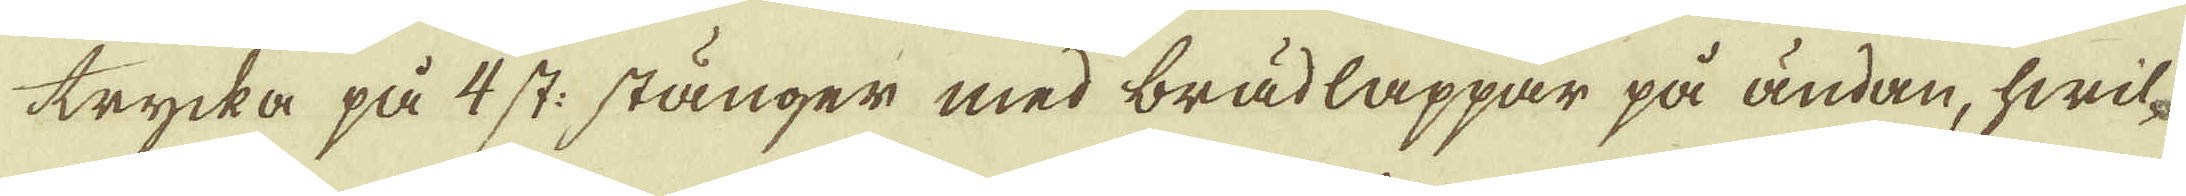trycka på 4 st: stänger med brädlappar på ändan, hwil-
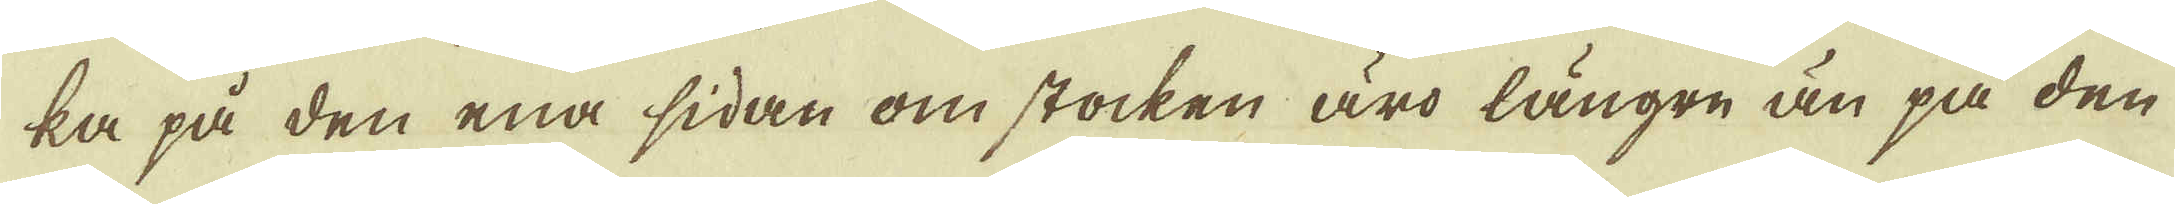ka på den ena sidan om stocken äro längre än på den
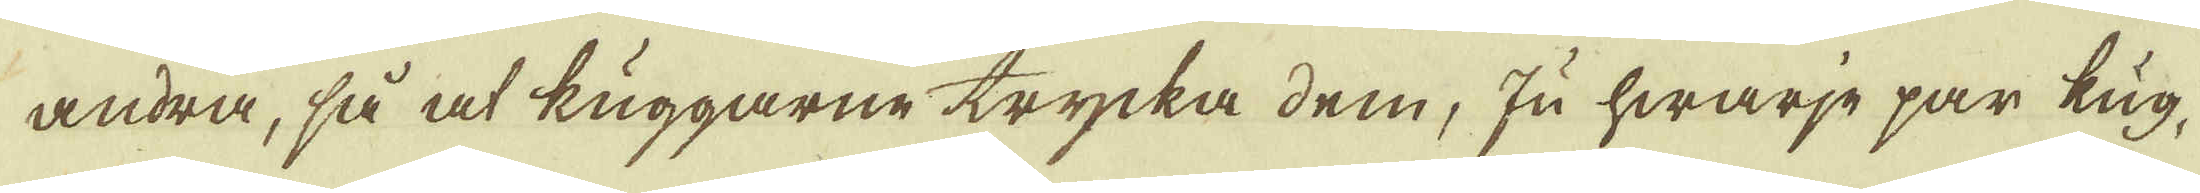andra, så at kuggarne trycka dem, ju hwarje par kug-
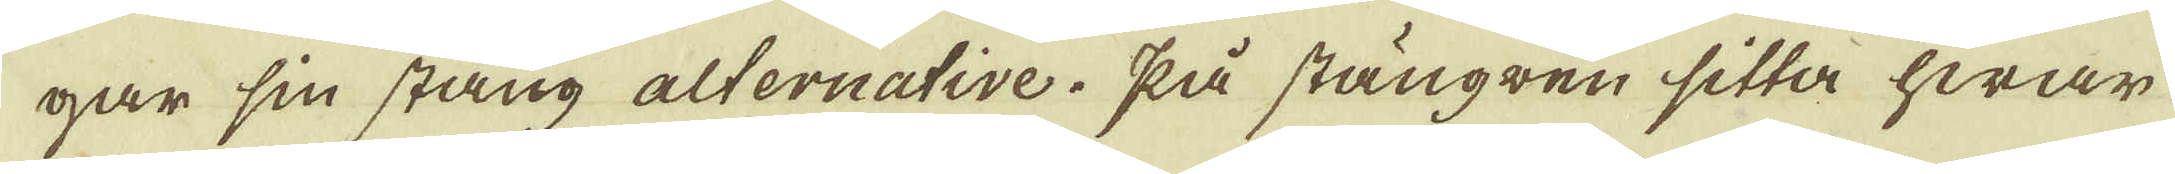gar sin stång alternative. På stängren sitta hwar
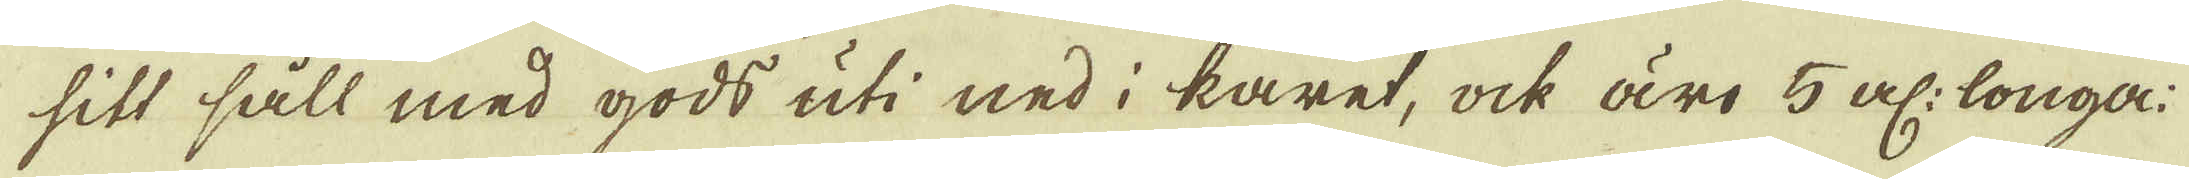sitt såll med gods uti ned i karet, ock äro 5 al: longa:
